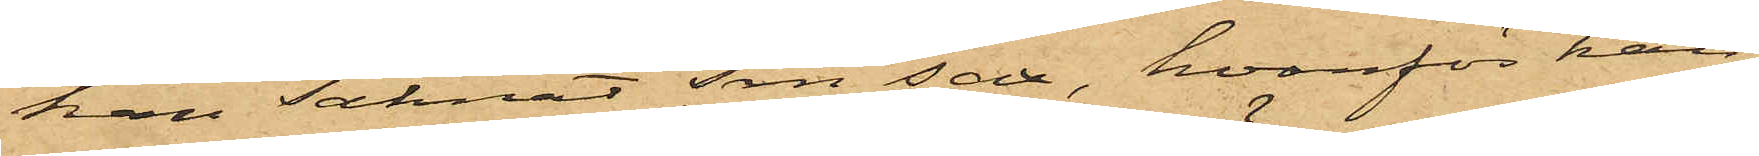han saknat sin sax, hvarför han
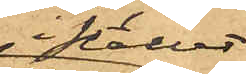i stället
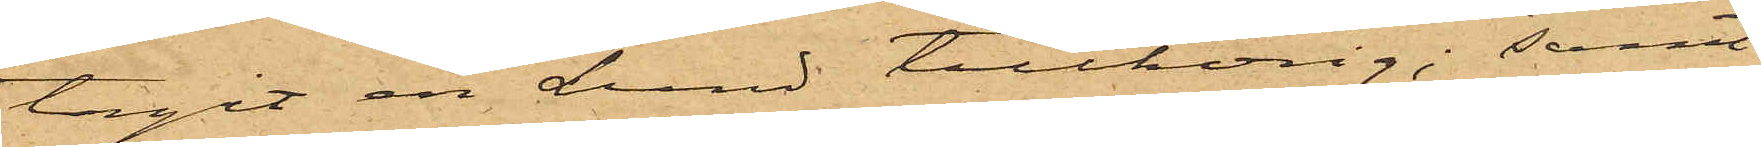tagit en Lund tillhörig; samt
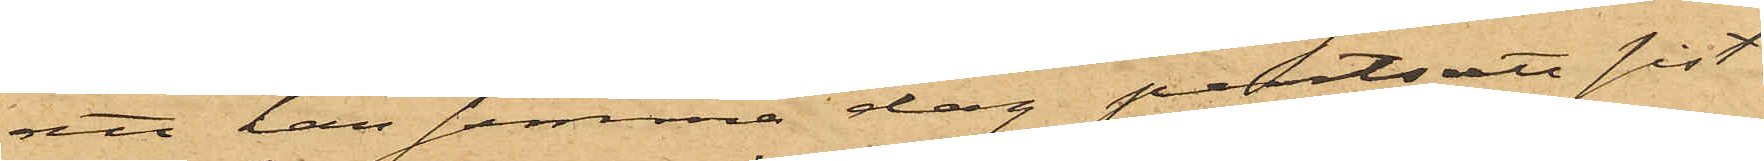att han samma dag pantsatt sist¬
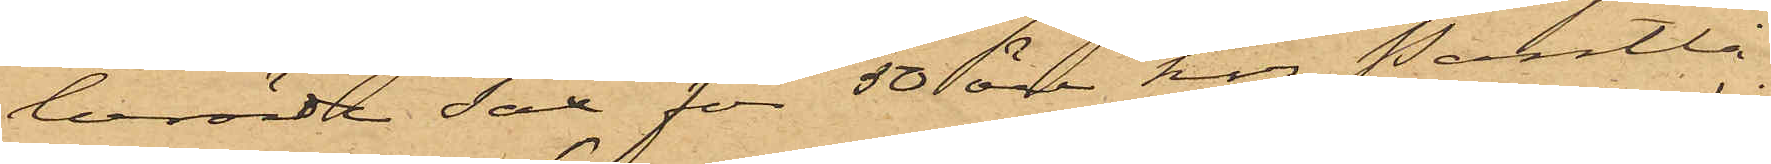berörde sax för 50 öre hos Pantlå¬
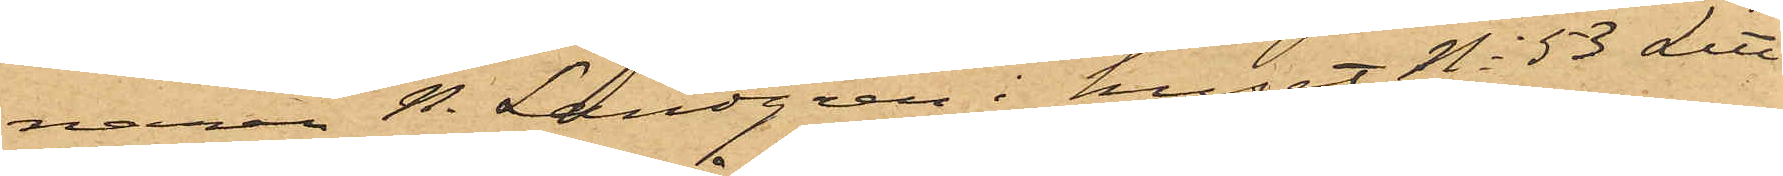naren N. Landgren i huset No 53 Litt
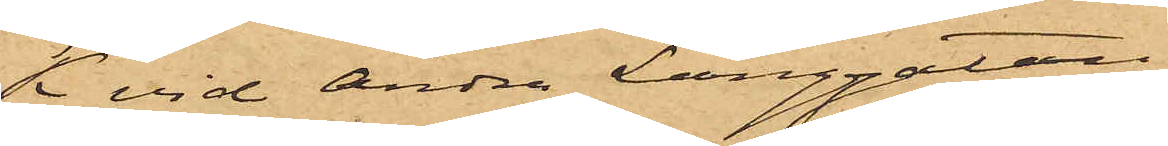K vid Andra Långgatan
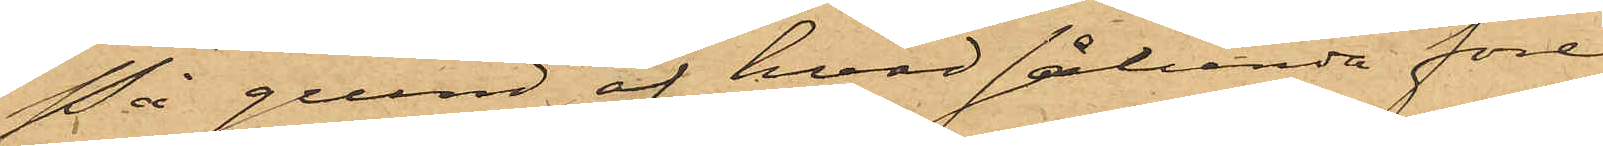På grund af hvad sålunda före¬
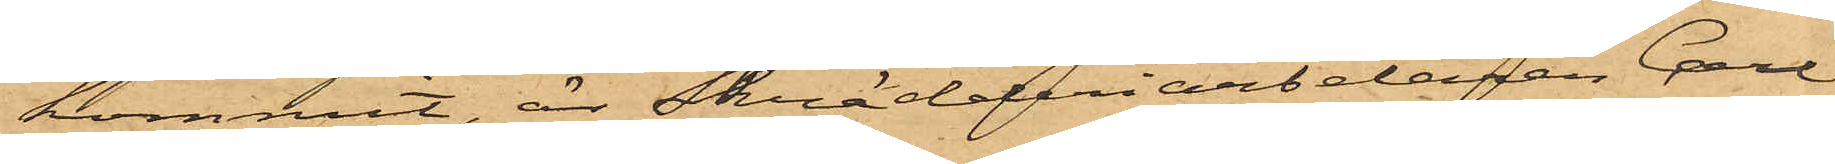kommit, är Skrädderiarbetaren Carl
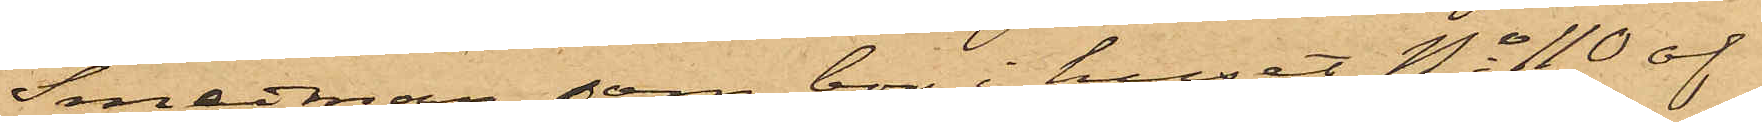Smedman, som bor i huset No 110 af
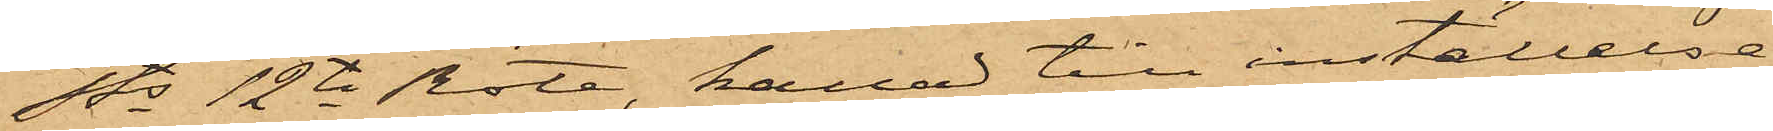Sds 12te Rote, kallad till inställelse
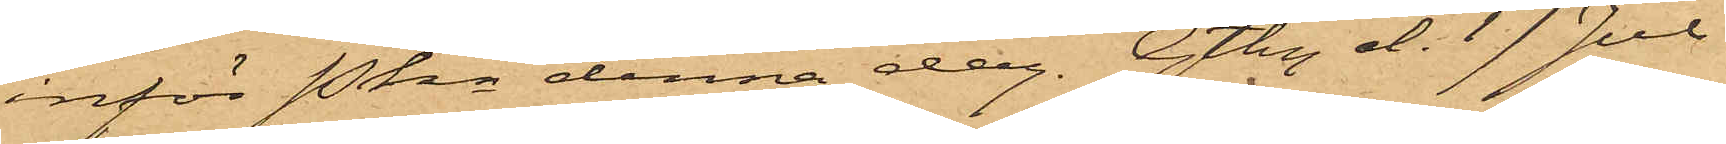inför Pkn denna dag. Gtbg d. 17 Juli
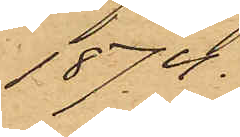1874.
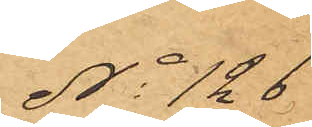No 126.
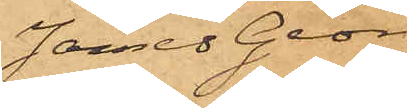James Georg
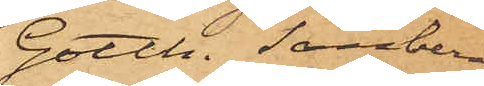Gotth. Sandberg
